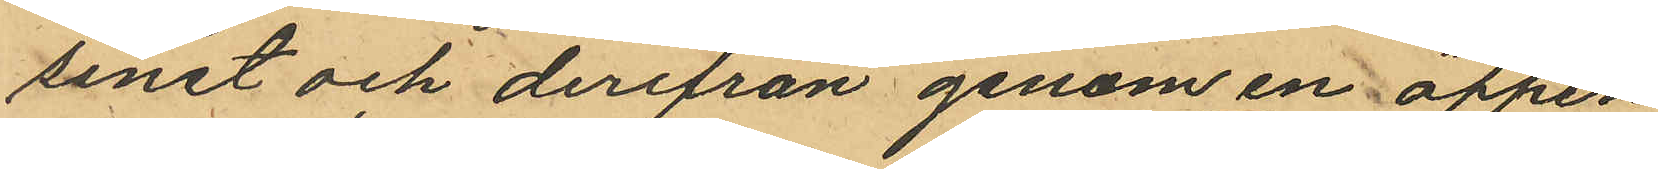sinet och derifrån genom en öppen
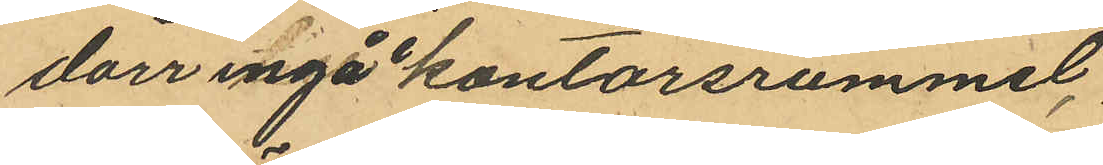dörr ingå i kontorsrummet,
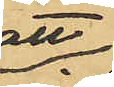att
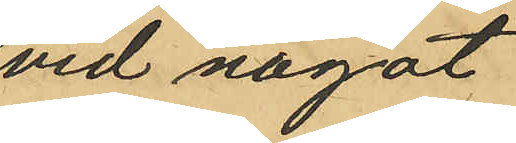vid något
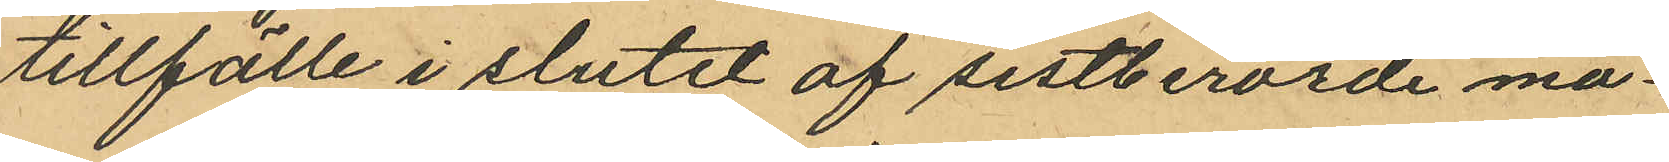tillfälle i slutet af sistberörde må¬
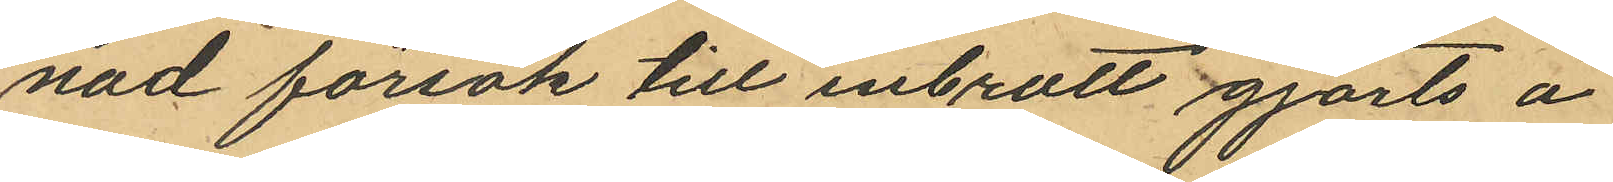nad försök till inbrott gjorts å
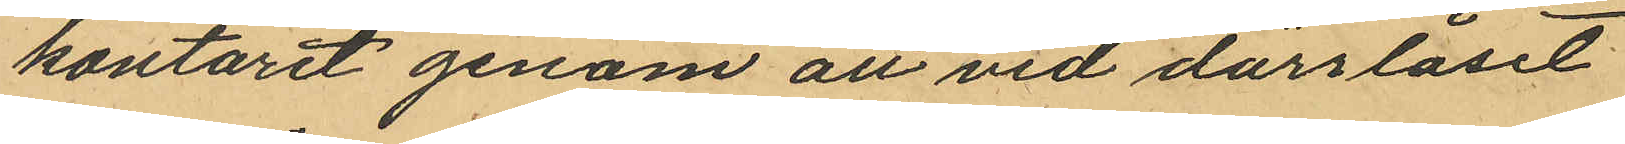kontoret genom att vid dörrlåset
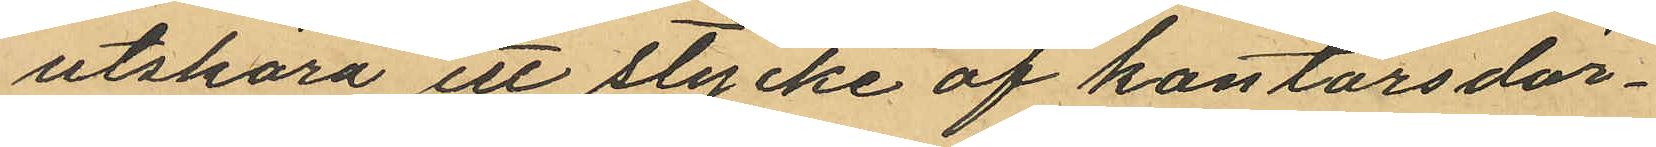utskära ett stycke af kontorsdör¬
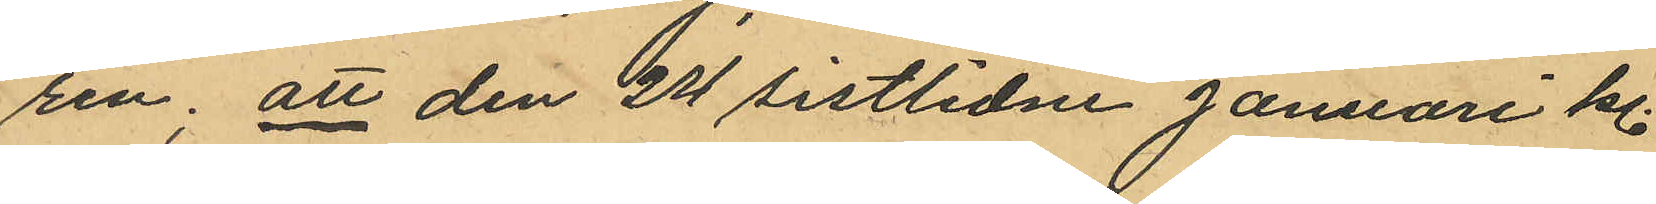ren; att den 24 sistlidne Januari kl.
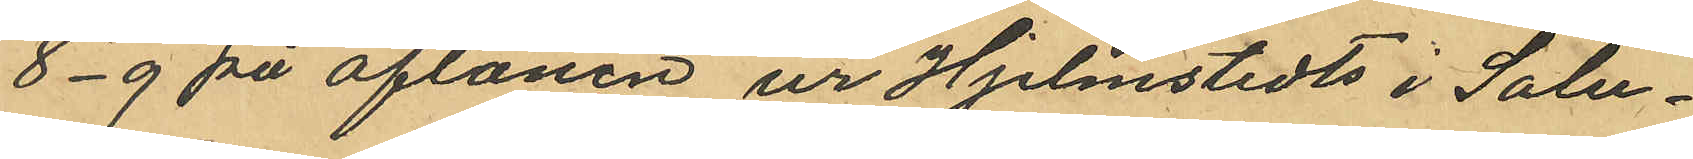8-9 på aftonen ur Hjelmstedts i Salu¬
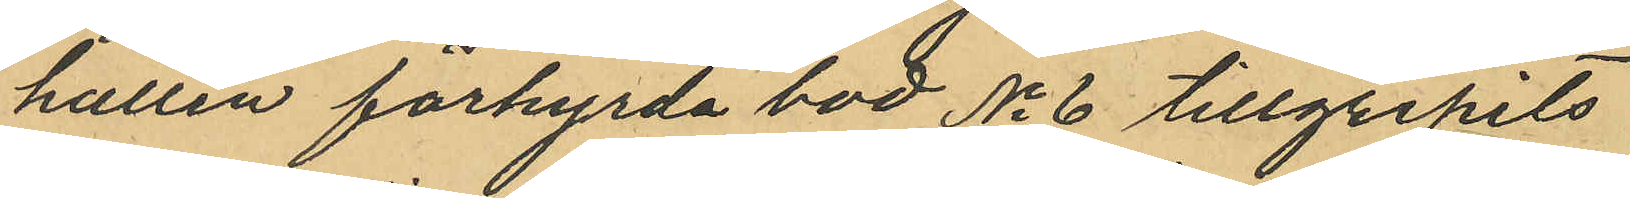hallen förhyrda bod No 6 tillgripits
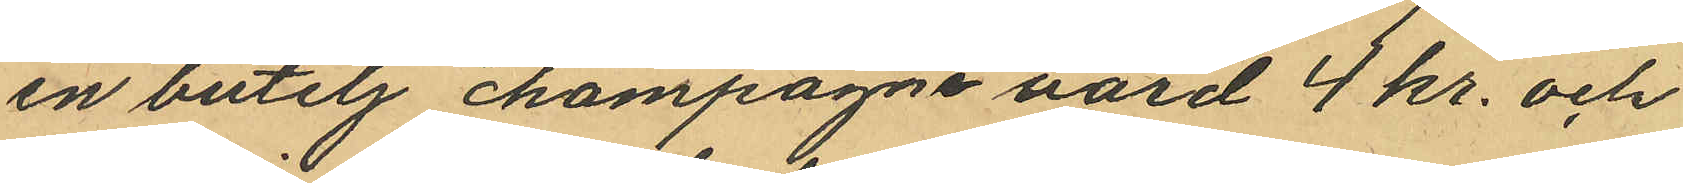en butelj champagne värd 4 kr. och
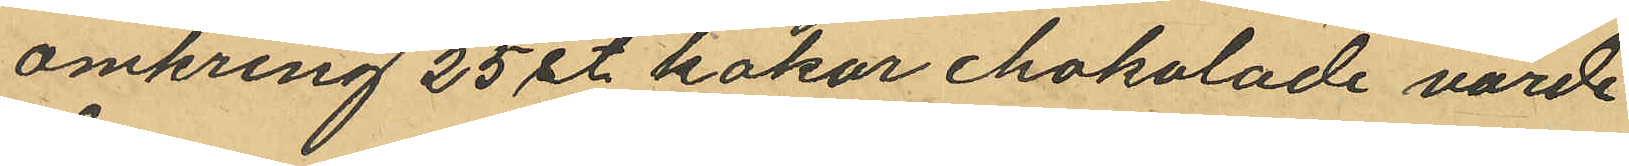omkring 25 st kakor chokolade värde
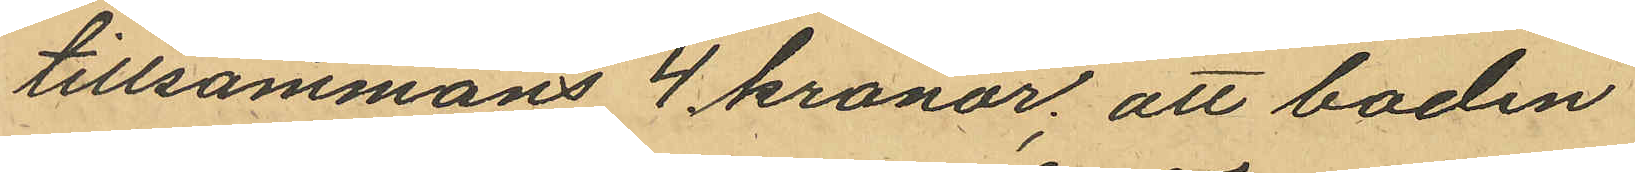tillsammans 4 kronor; att boden
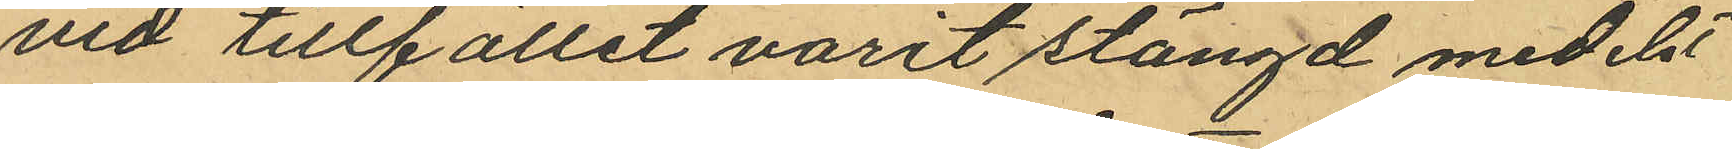vid tillfället varit stängd medelst
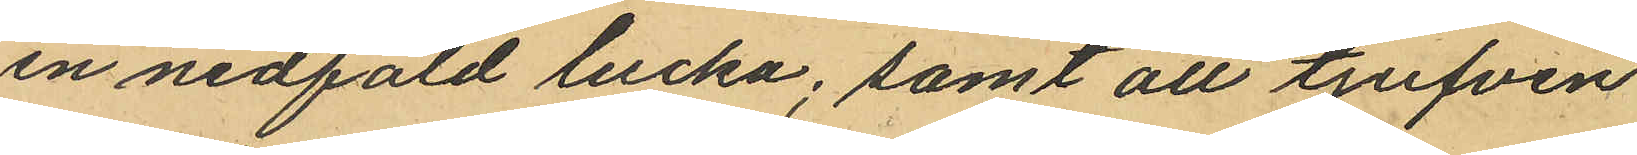en nedfäld lucka; samt att tjufven
